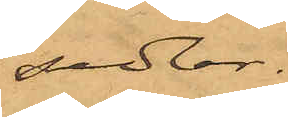sedlar.
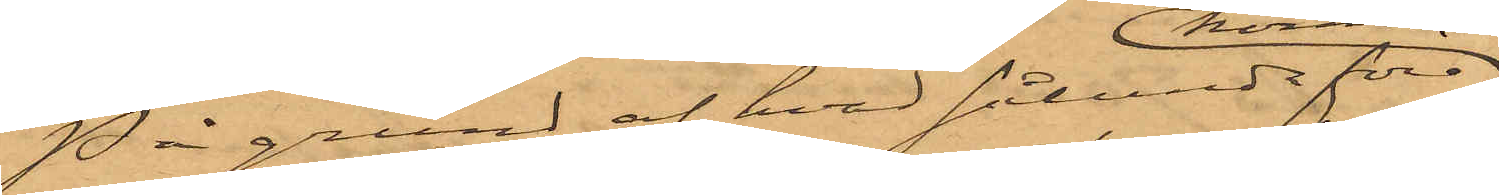På grund af hvad sålunda före¬
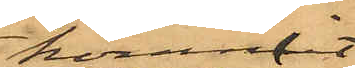kommit
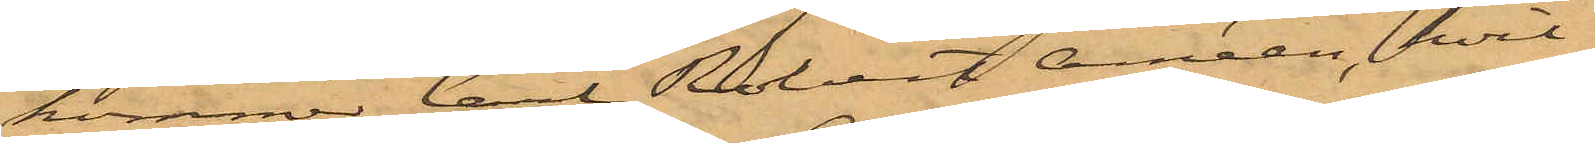kommer Carl Robert Améen, hvil¬
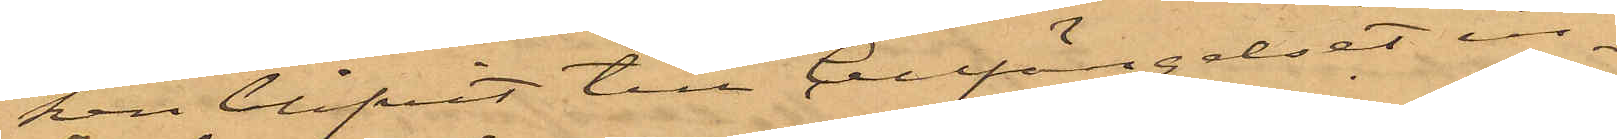ken blifvit till Cellfängelset in¬
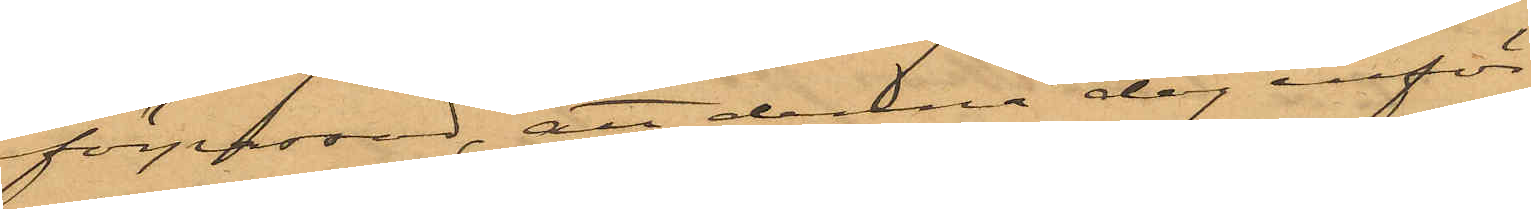förpassad, att denna dag inför
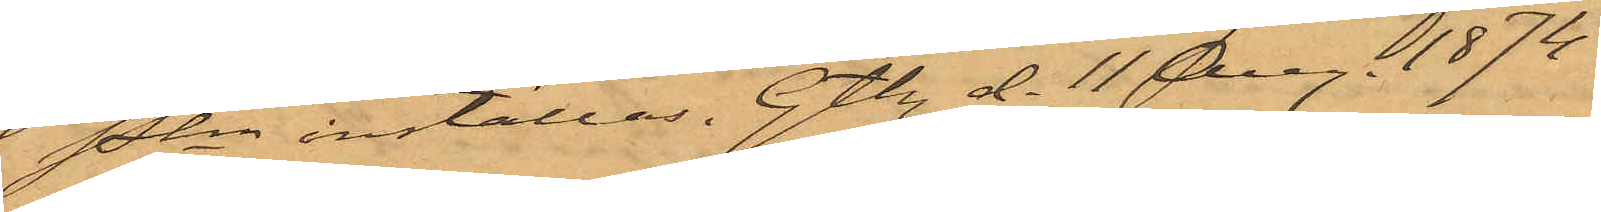Pkn inställas. Gtbg d. 11 Aug. 1874.
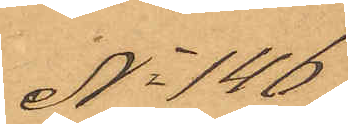No 146
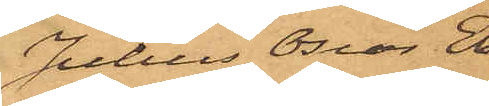Julius Oscar Eb¬
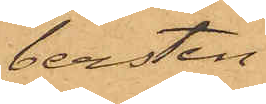bersten
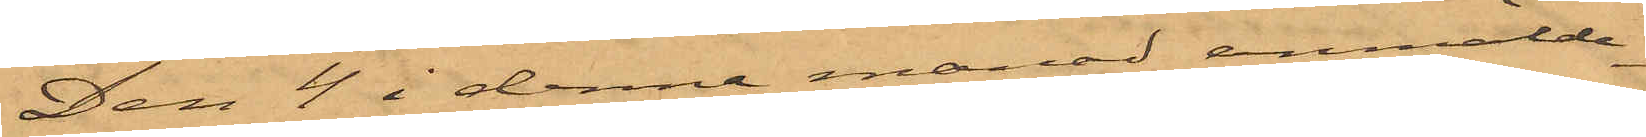Den 4 i denna månad anmälde
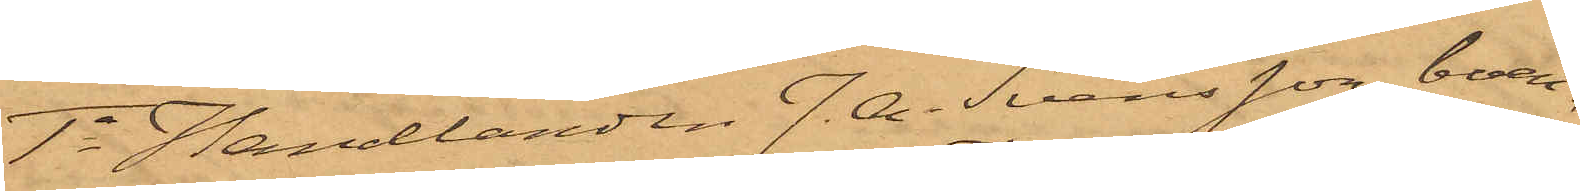1o Handlanden J. A. Svensson, boen¬
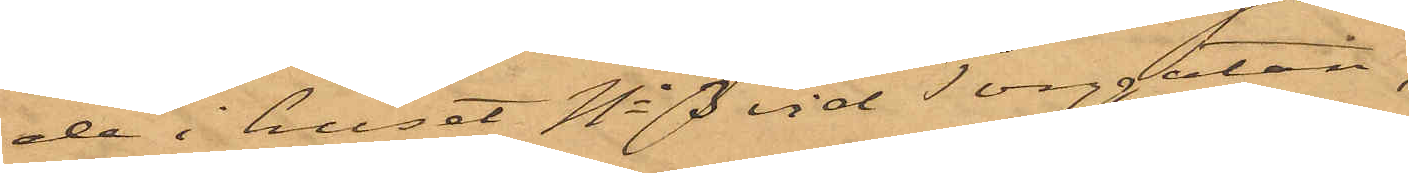de i huset No 3 vid Torggatan,
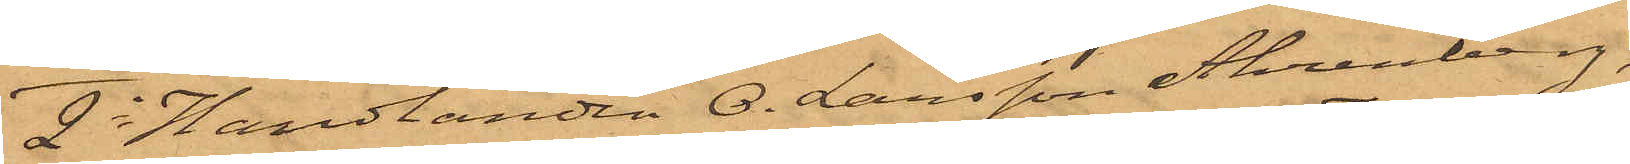2o Handlanden O. Larsson Ahrenberg,
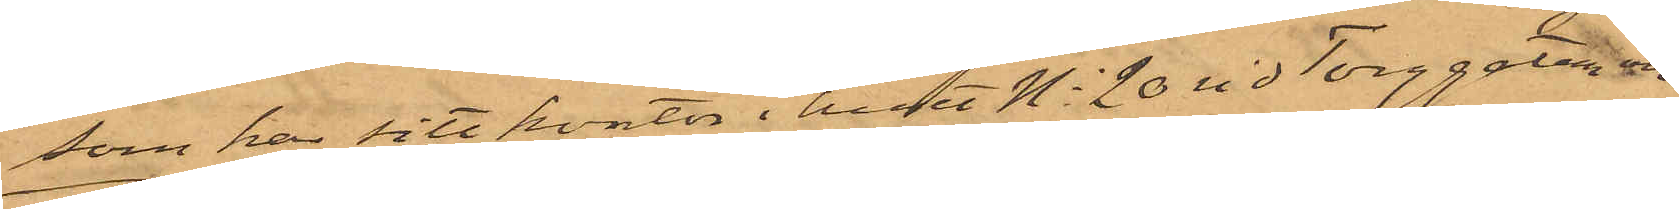som har sitt kontor i huset No 20 vid Torggatan,
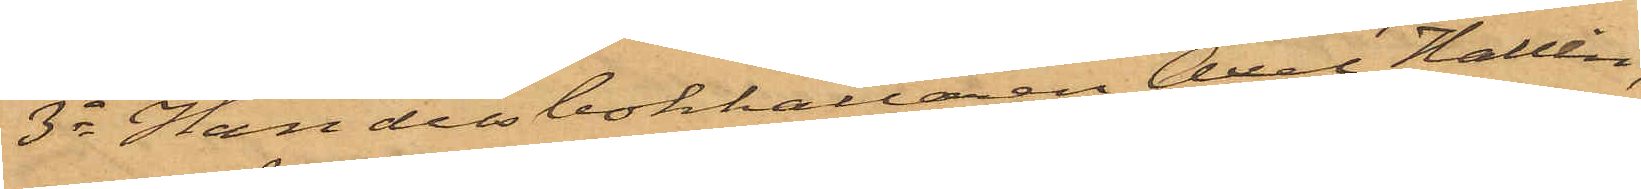3o Handelsbokhållaren Axel Hallin,
